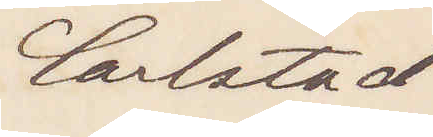Carlstad
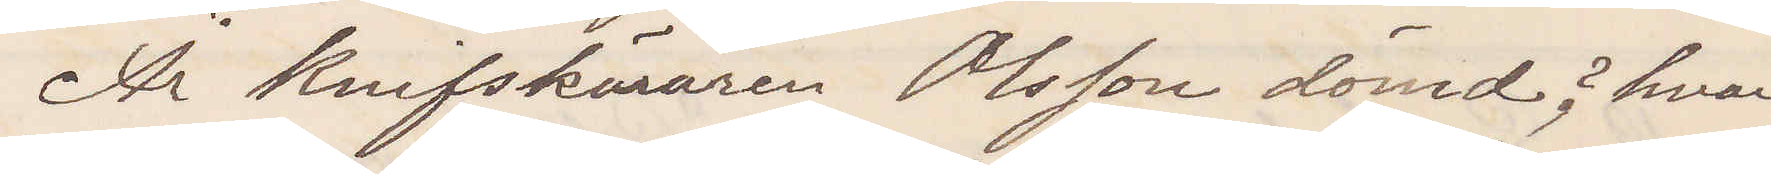Är Knifskäraren Olsson dömd? hvar
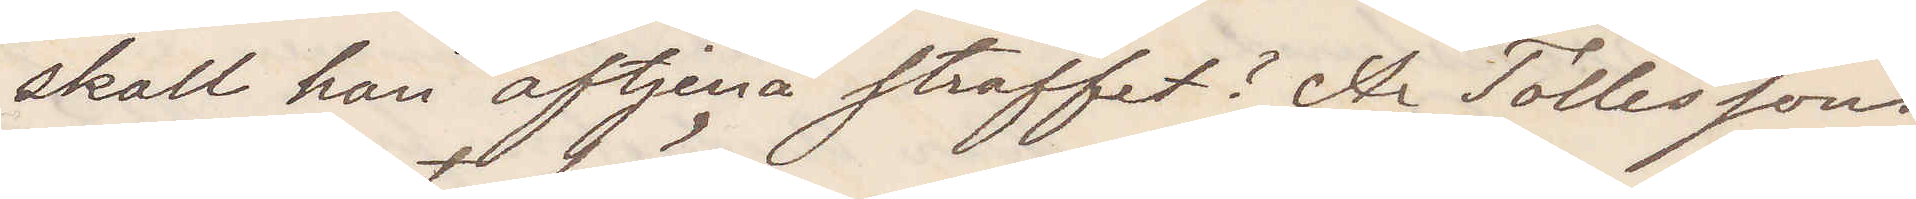skall han aftjena straffet? Är Tollessons
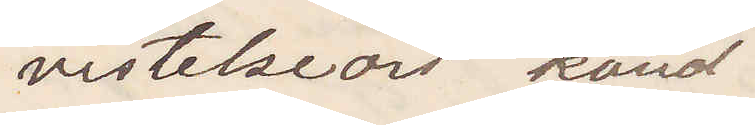vistelseort känd.
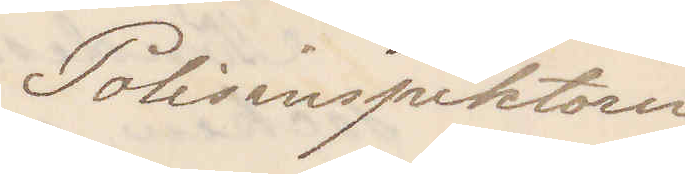Polisinspektorn
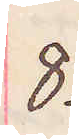8.
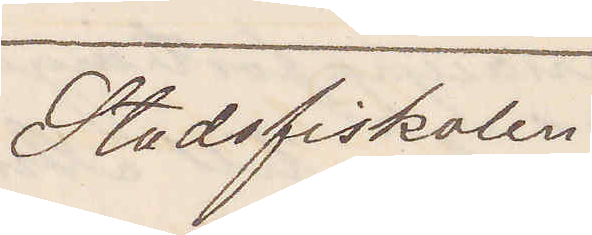Stadsfiskalen
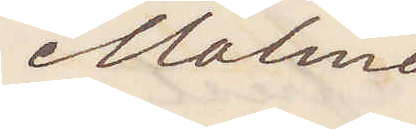Malmö
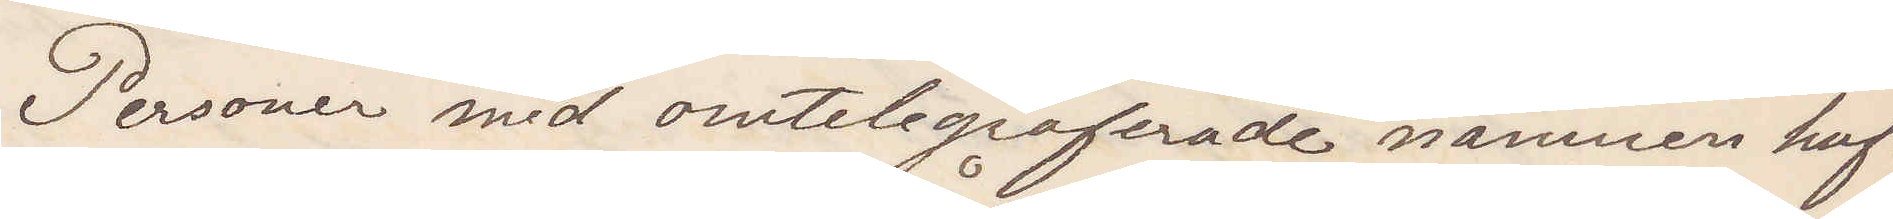Personer med omtelegraferade namnen haf¬
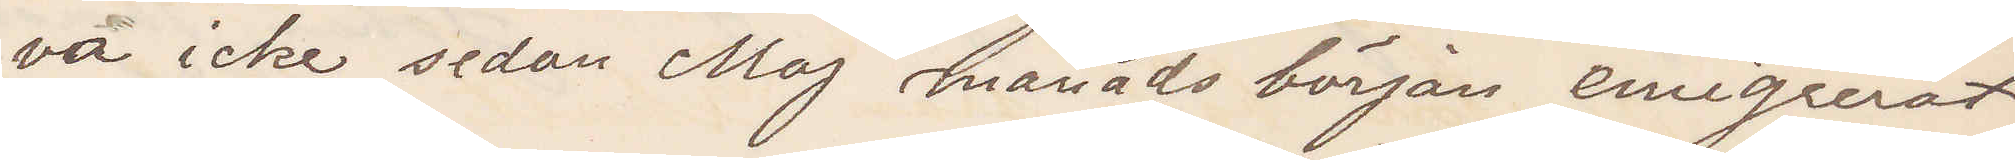va icke sedan Maj månads början emigrerat
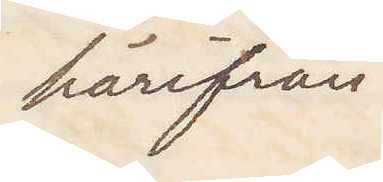härifrån.
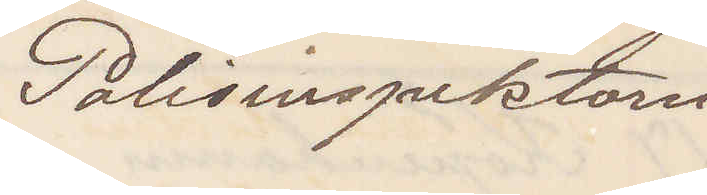Polisinspektorn
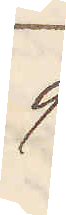9
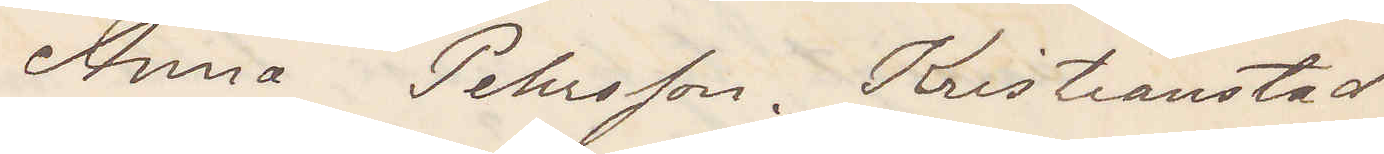Anna Pehrsson. Kristianstad
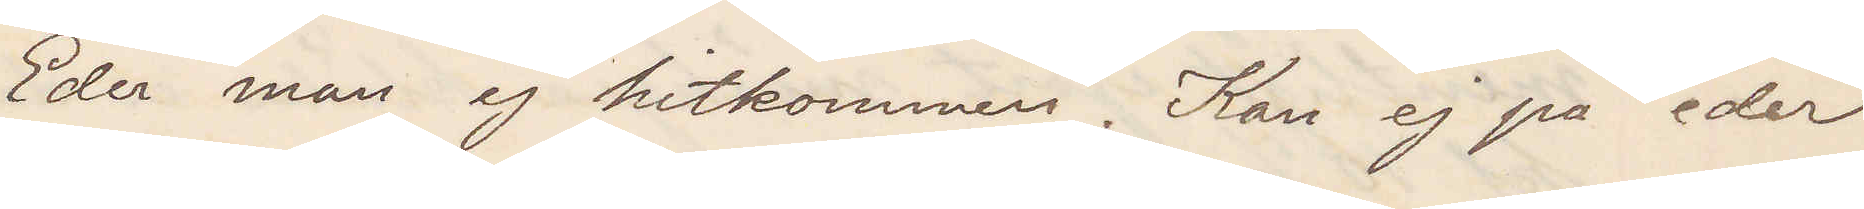Eder man ej hitkommen. Kan ej på eder
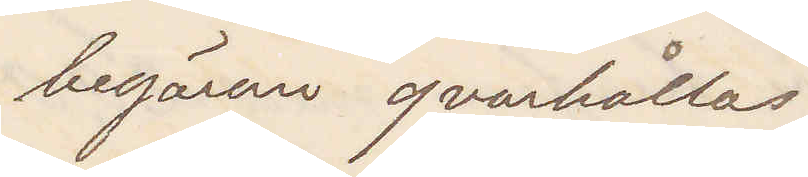begäran qvarhållas
